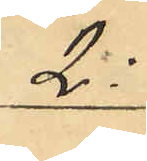2:
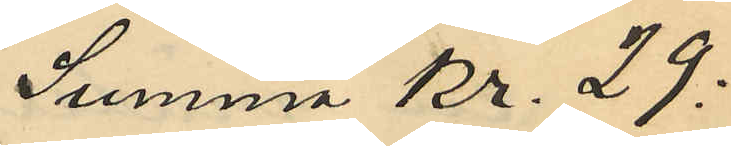Summa Kr. 29:
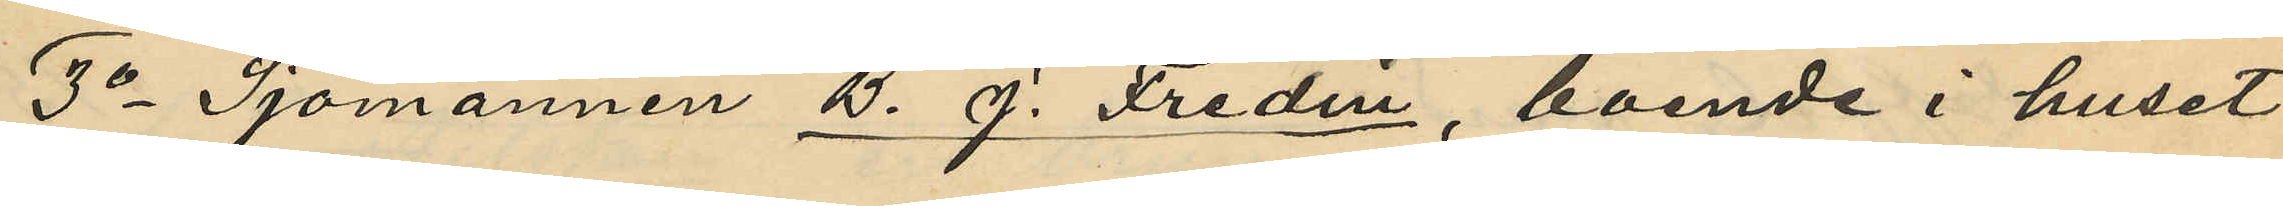3o Sjömannen B. J. Fredin, boende i huset
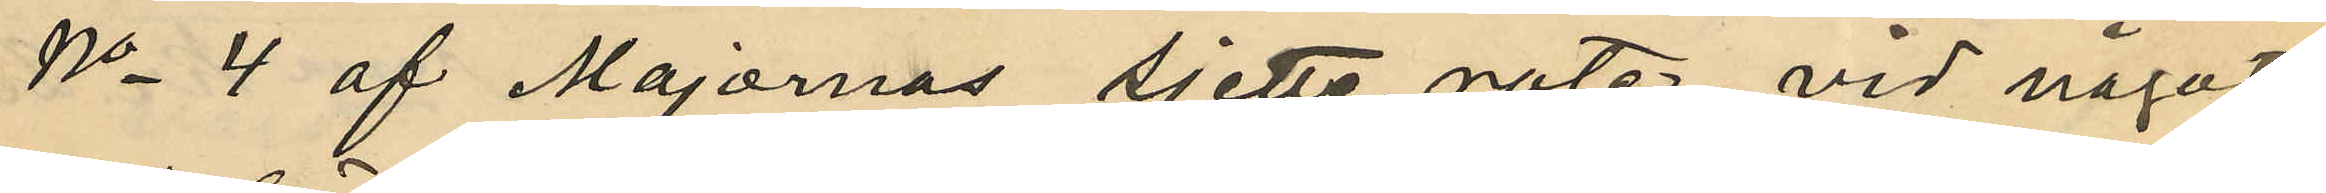No 4 af Majornas sjette rote vid något
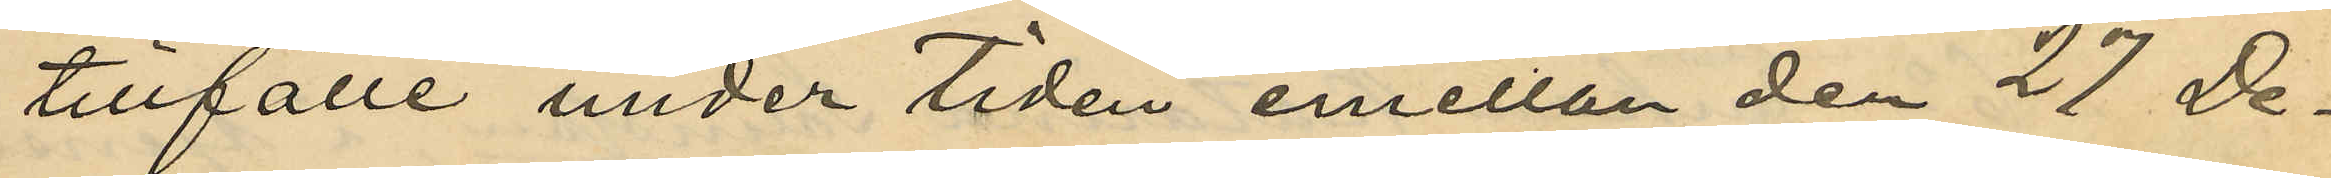tillfälle under tiden emellan den 27 De¬
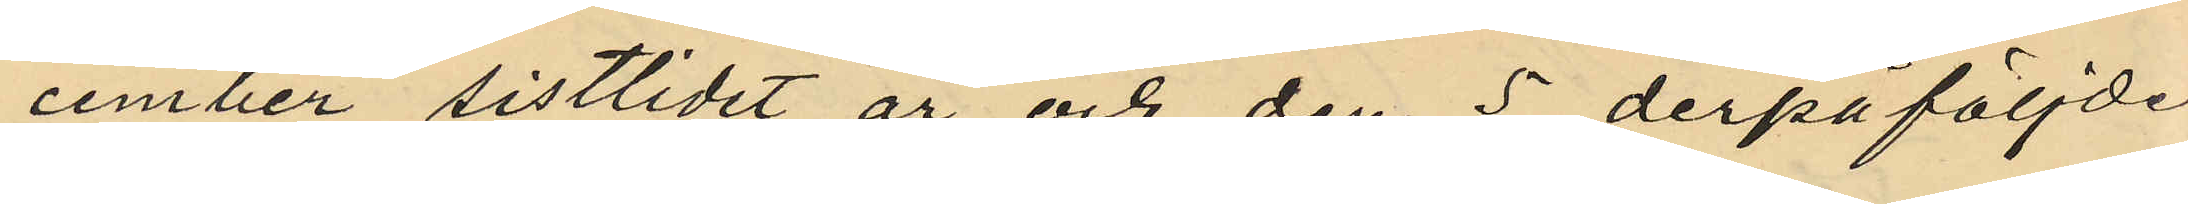cember sistlidet år och den 5 derpåföljde
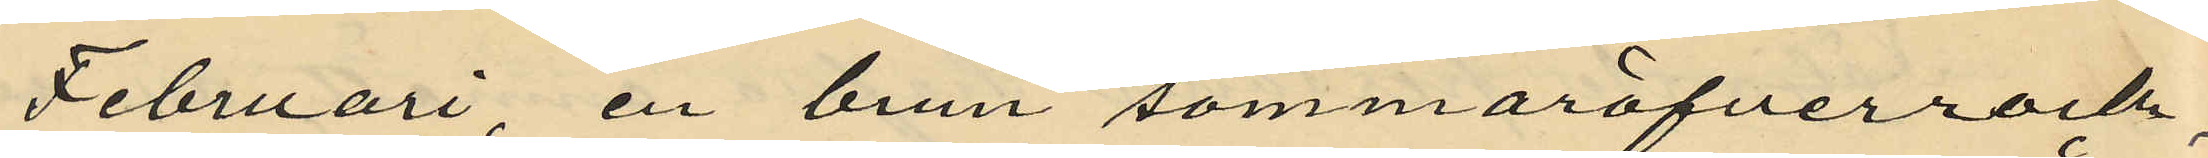Februari en brun sommaröfverrock,
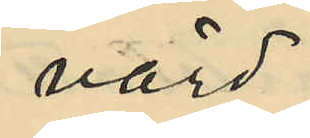värd
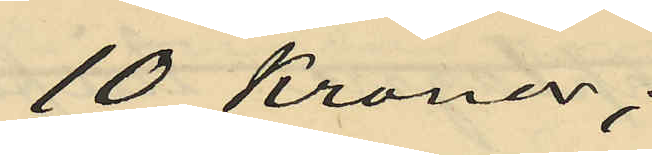10 Kronor;
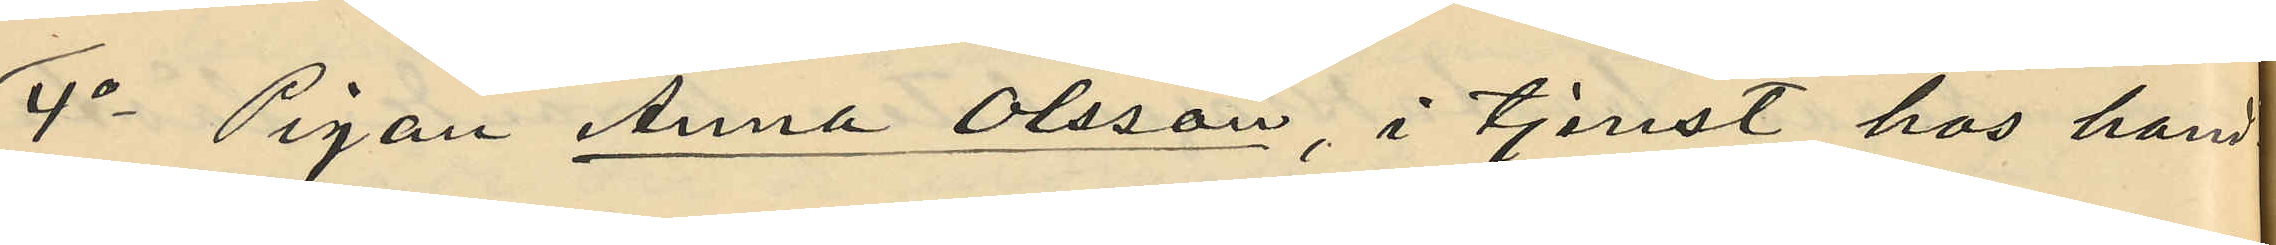4o Pigan Anna Olsson, i tjenst hos hand¬
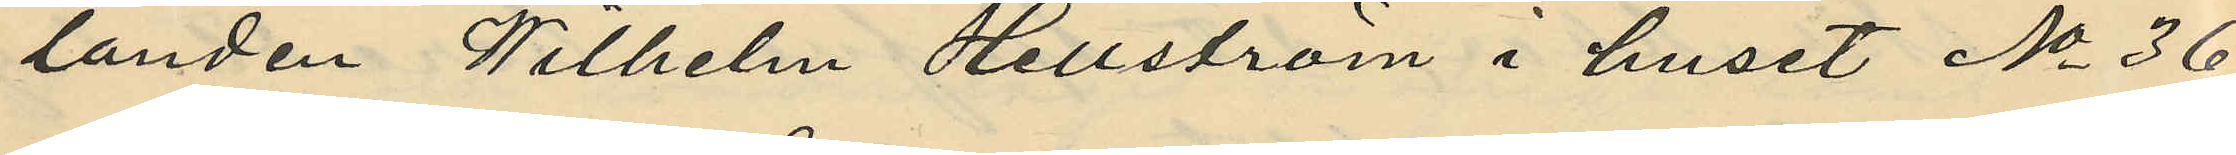landen Wilhelm Hellström i huset No 36
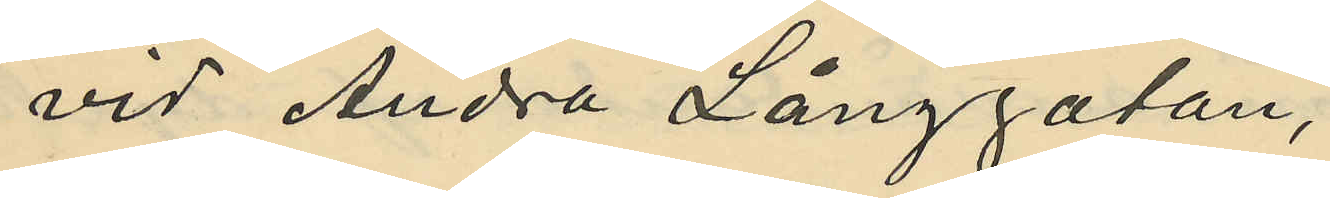vid Andra Långgatan,
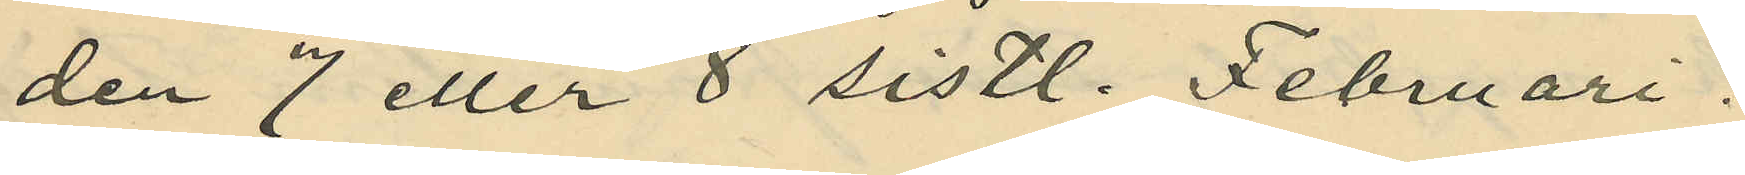den 7 eller 8 sistl. Februari:
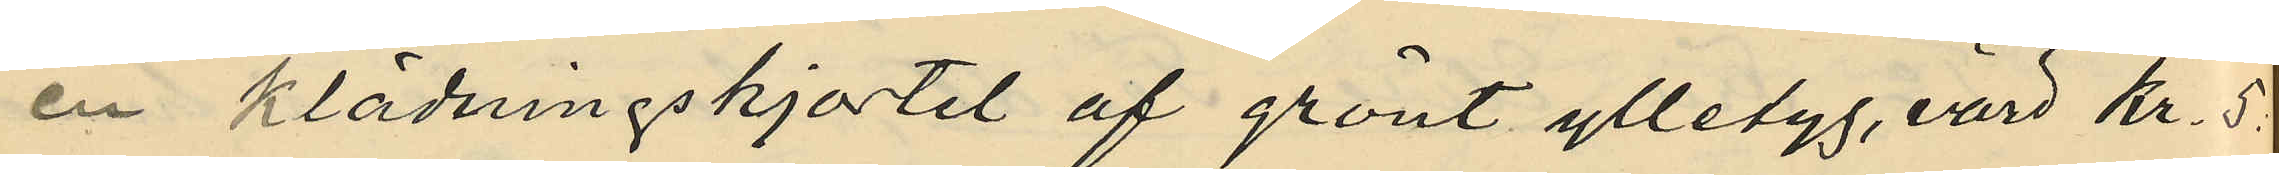en klädningskjortel af grönt ylletyg, värd Kr. 5
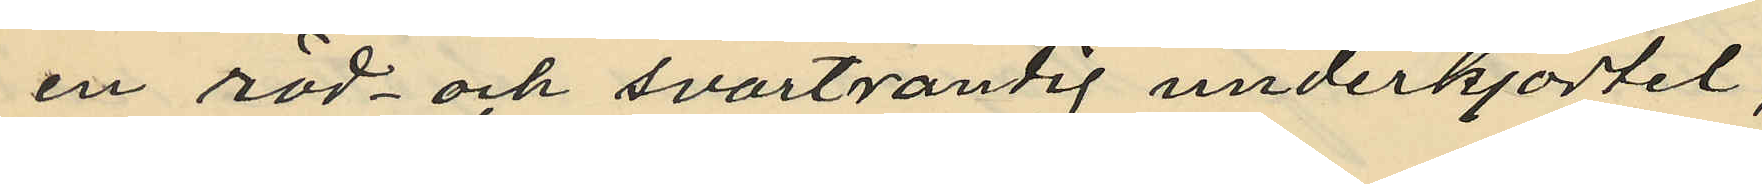en röd och svartrandig underkjortel,
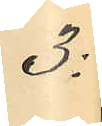3:
